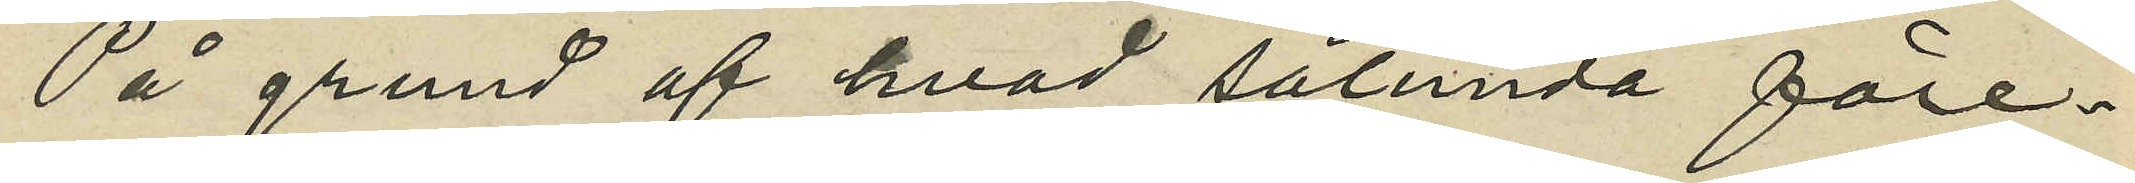På grund af hvad sålunda före¬
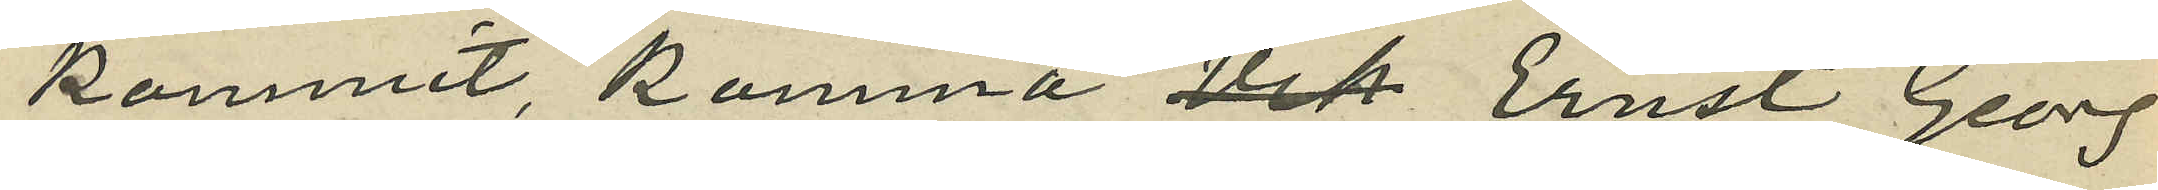kommit, komma Vik Ernst Georg
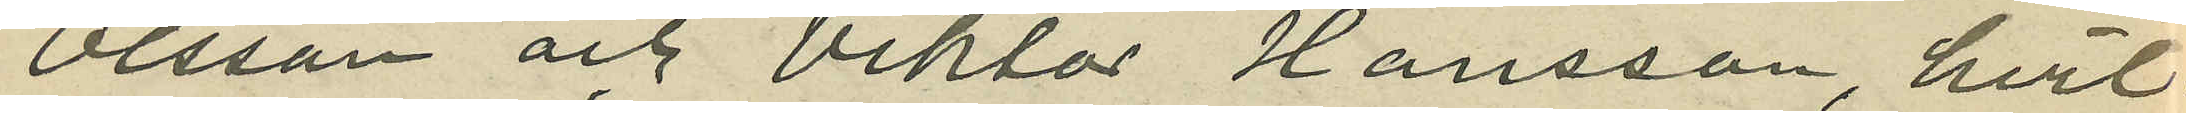Olsson och Viktor Hansson, hvil¬
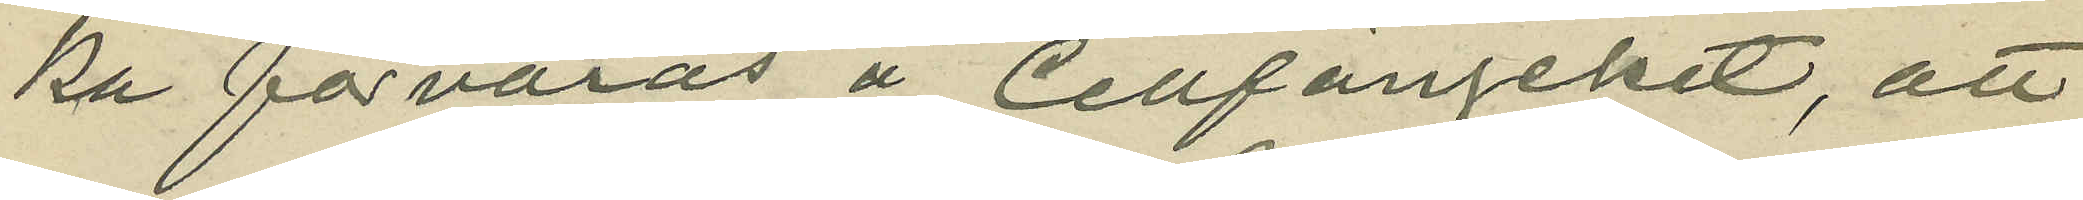ka förvaras å Cellfängelset, att
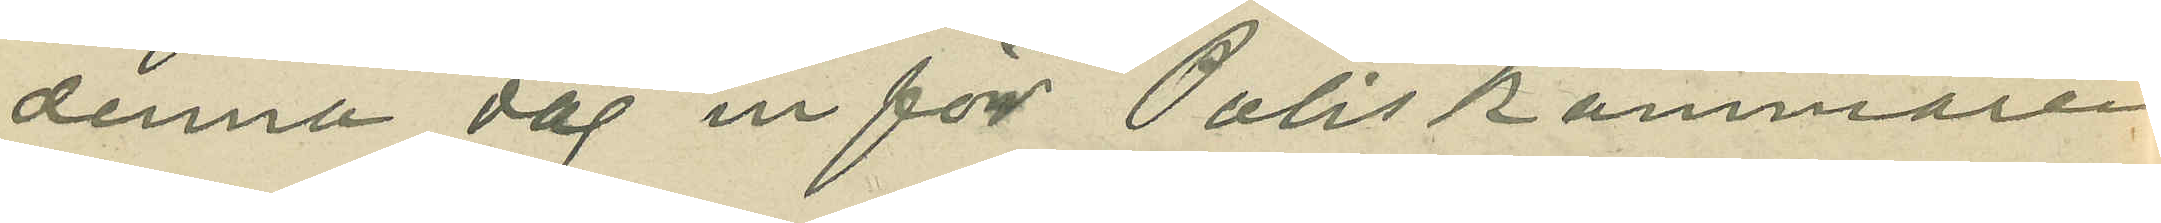denna dag in för Poliskammaren
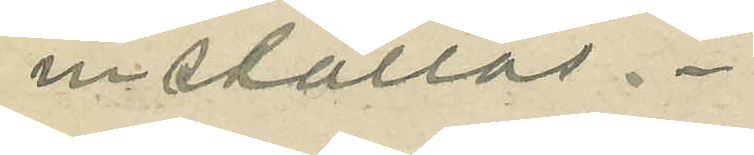inställas.
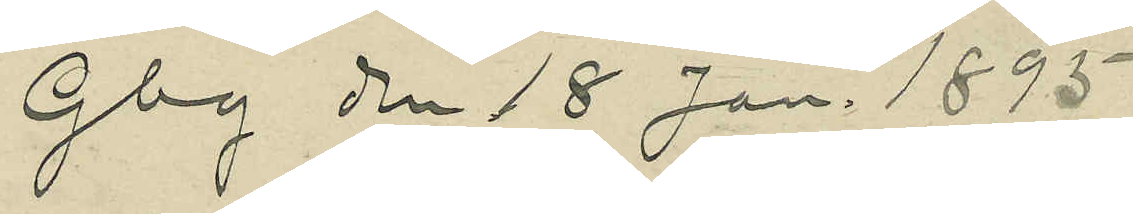Gbg den 18 Jan. 1895.
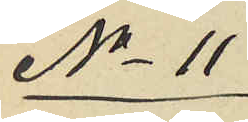No 11
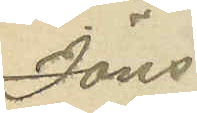Jöns
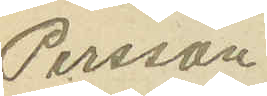Persson
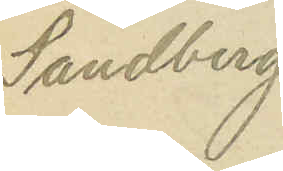Sandberg
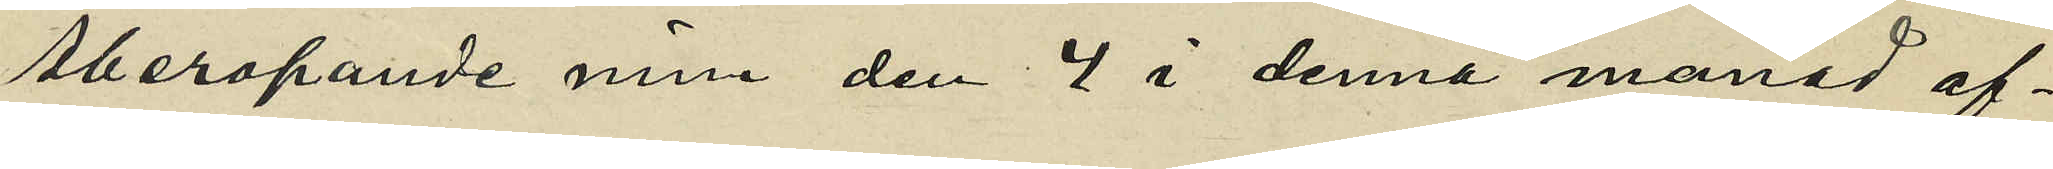Åberopande min den 4 i denna månad af¬
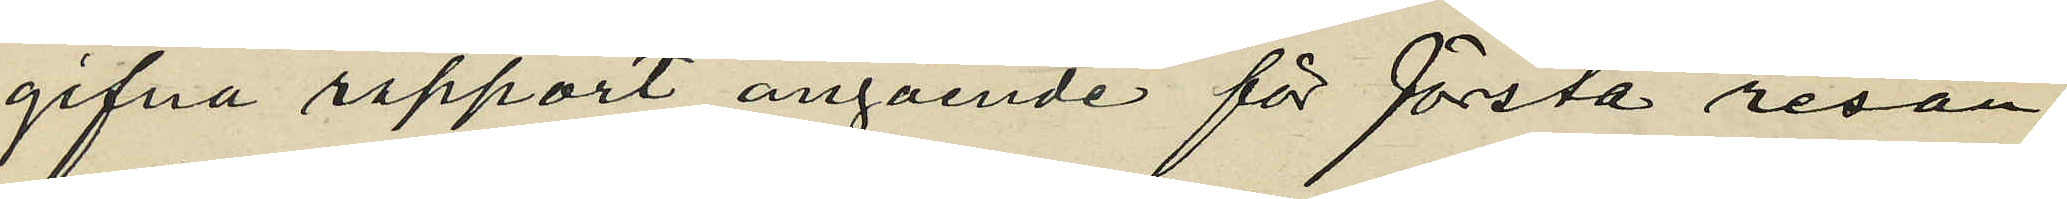gifna rapport angående för första resan
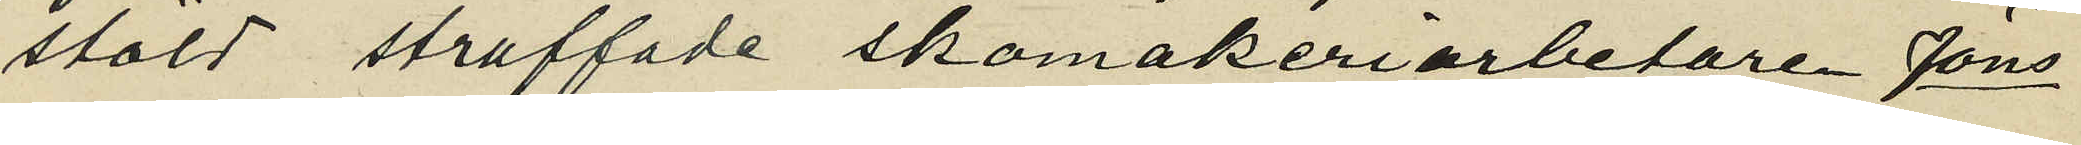stöld straffade skomakeriarbetare Jöns
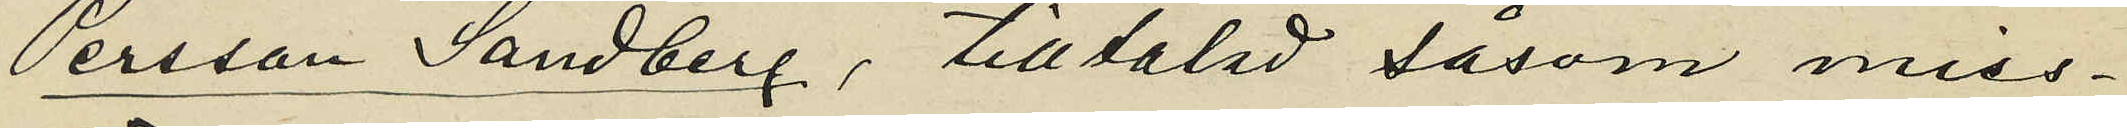Persson Sandberg, tilltalad såsom miss¬
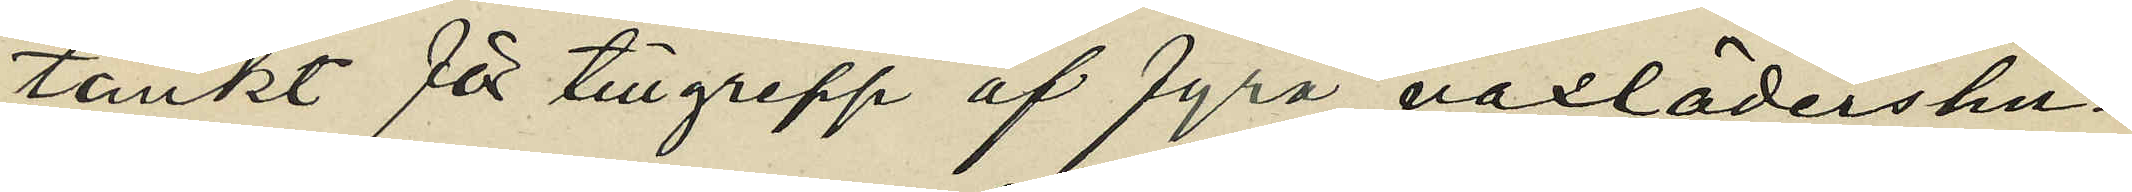tänkt för tillgrepp af fyra vaxlädershu¬
